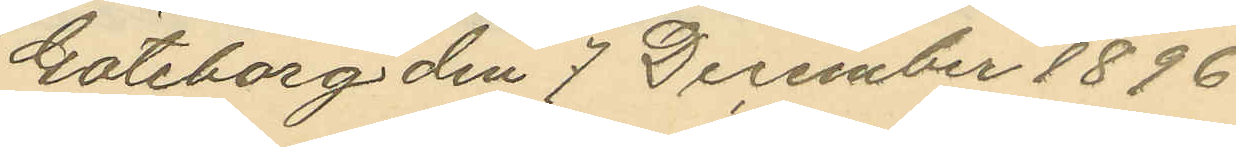Göteborg den 7 December 1896.
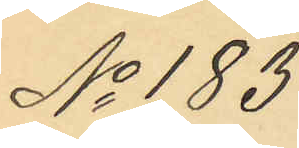No 183
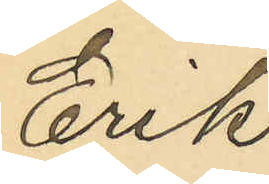Erik
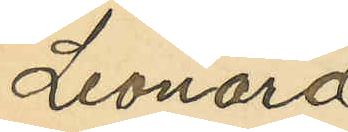Leonard
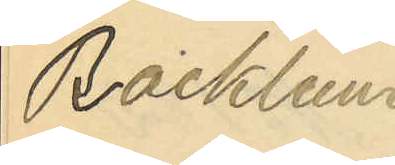Backlund
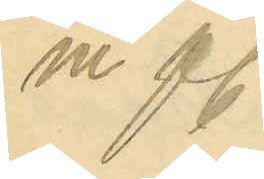m fl.
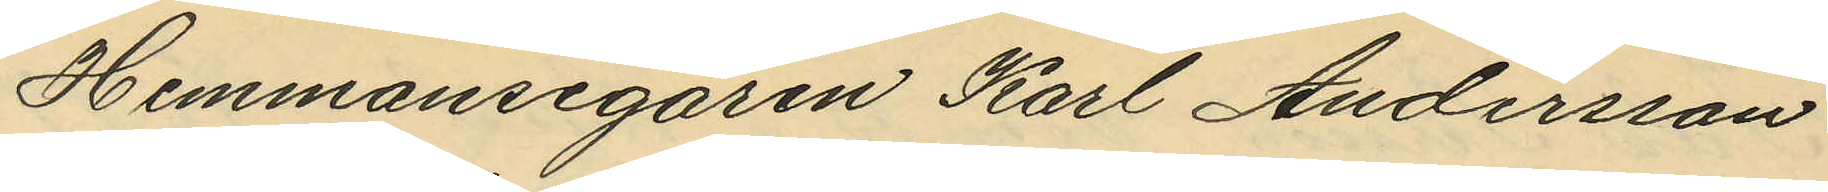Hemmansegaren Karl Andersson
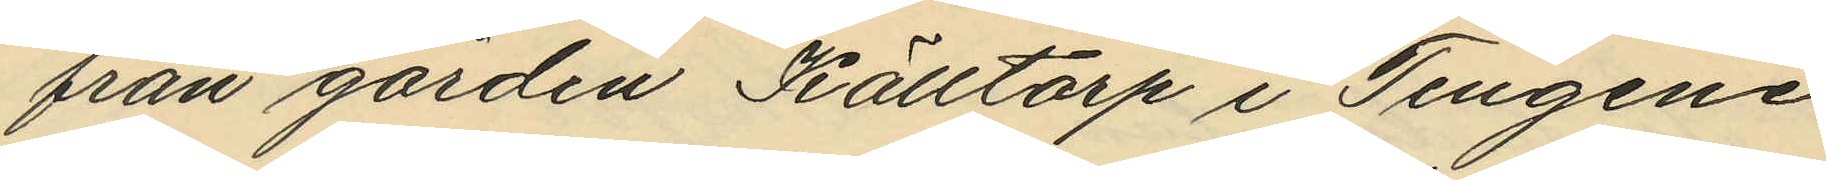från gården Källtorp i Tengene
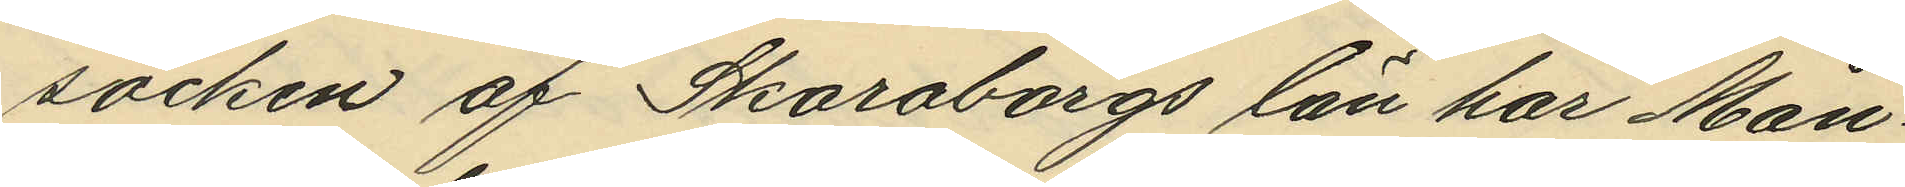socken af Skaraborgs län har Mån¬
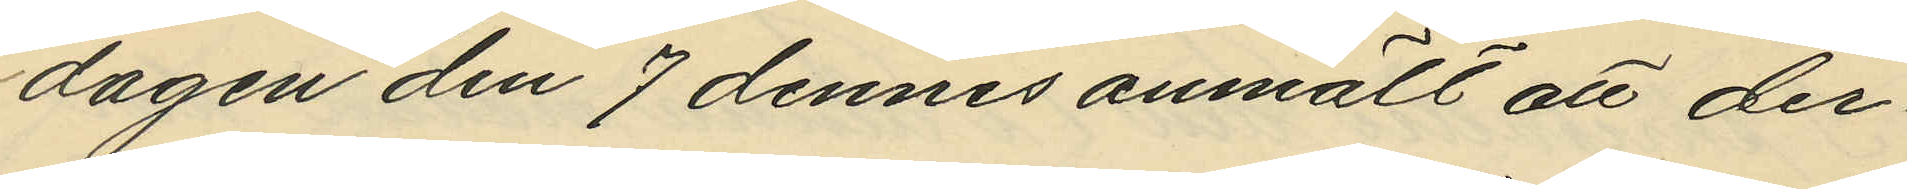dagen den 7 dennes anmält att der¬
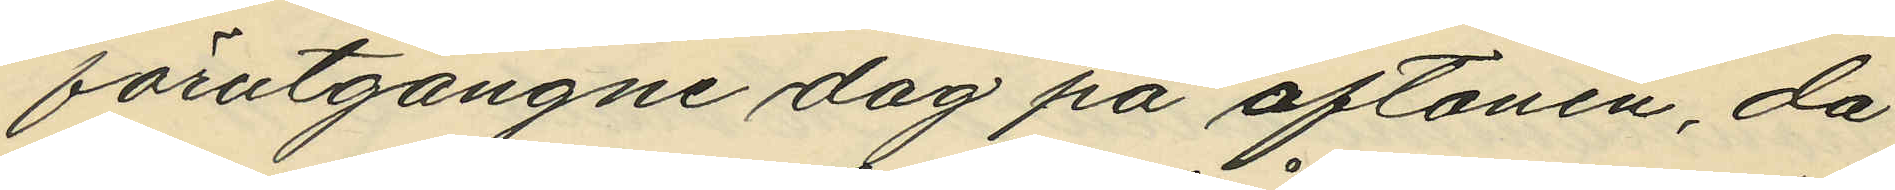förutgångne dag på aftonen, då
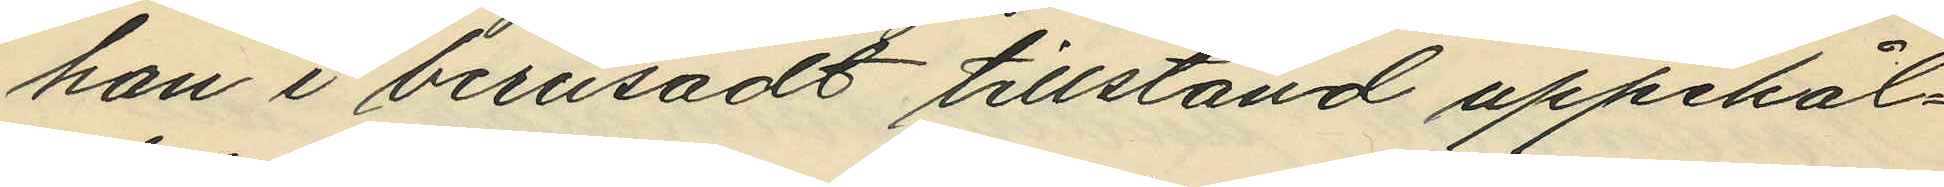han i berusadt tillstånd uppehål¬
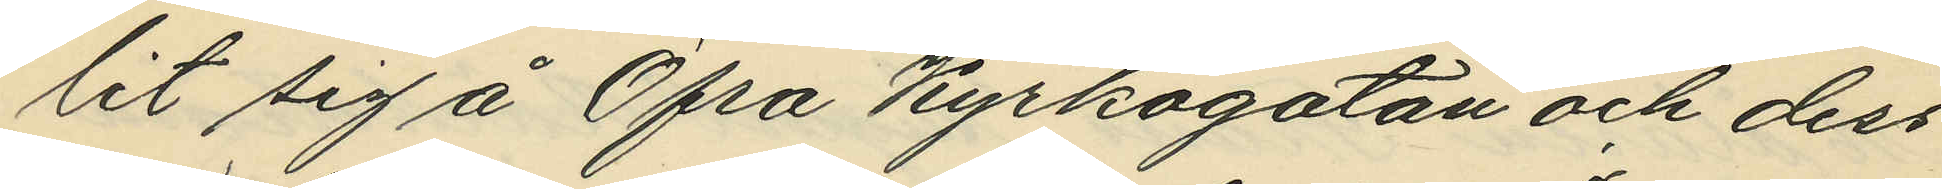lit sig å Öfra Kyrkogatan och dess
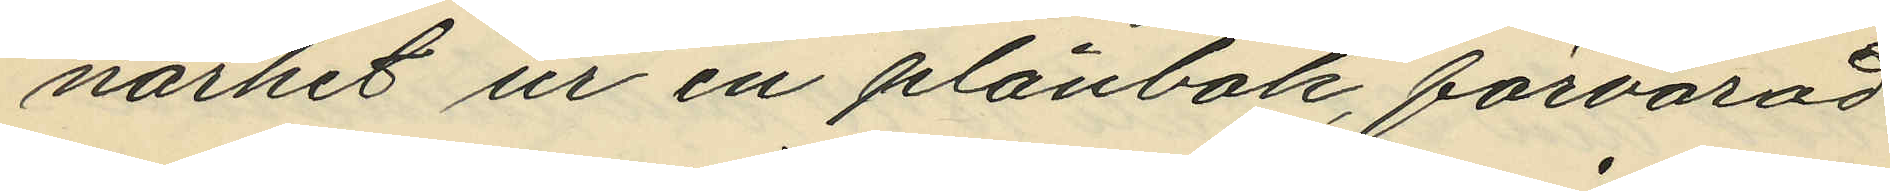närhet ur en plånbok, förvarad
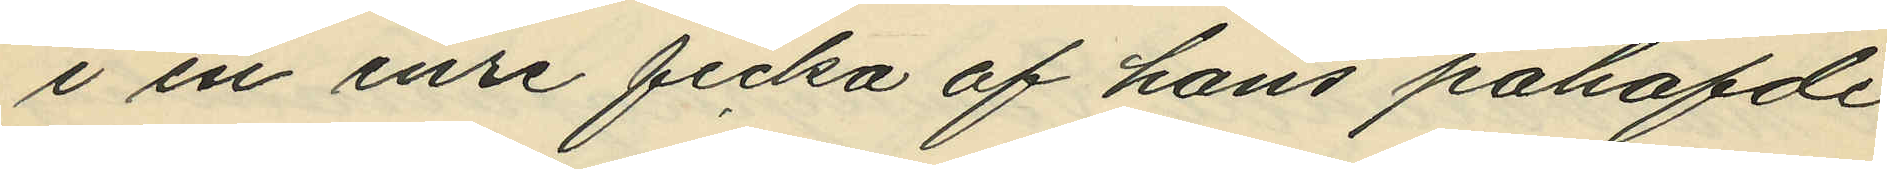i en inre ficka af hans påhafde
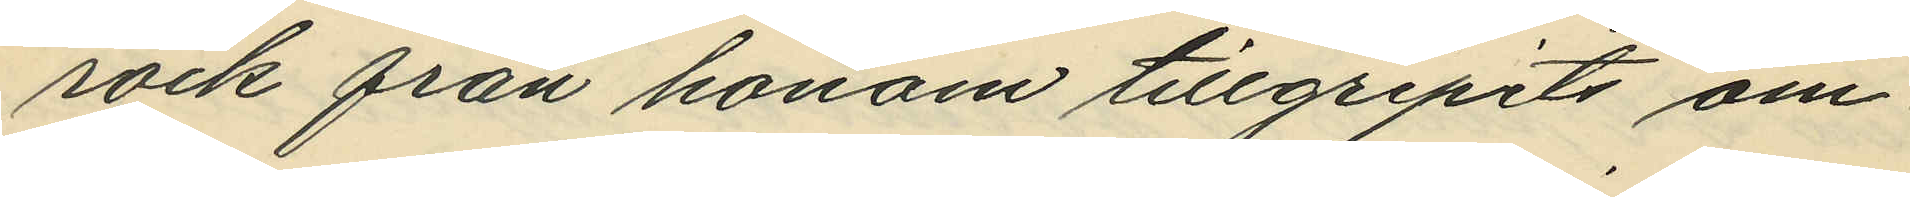rock från honom tillgripits om¬
